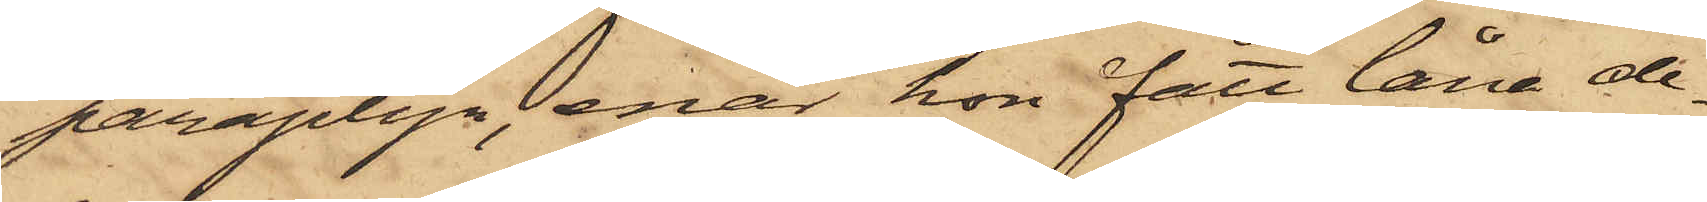paraplyn, enär hon fått låna de¬
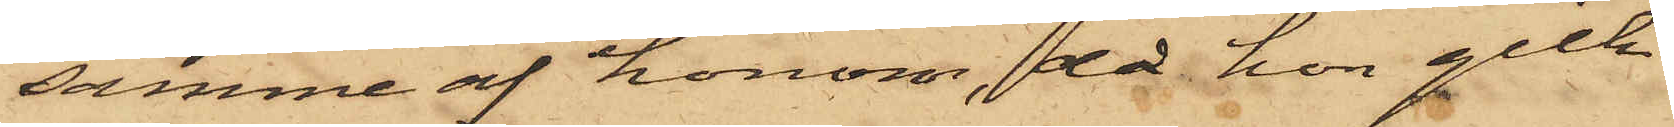samme af honom, då hon gick
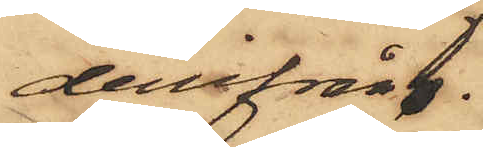derifrån.
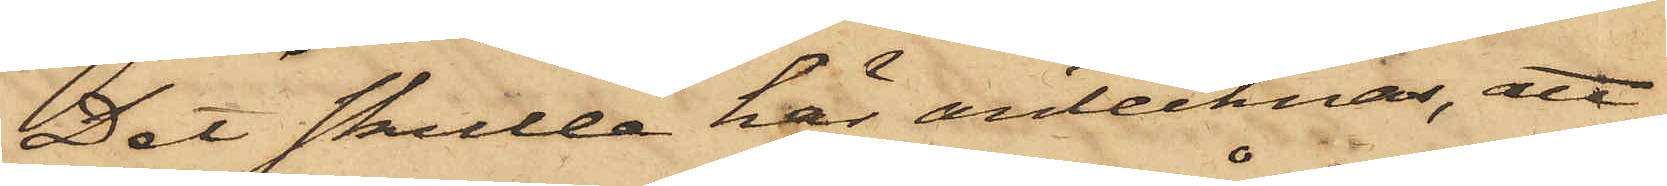Det skulle här antecknas, att
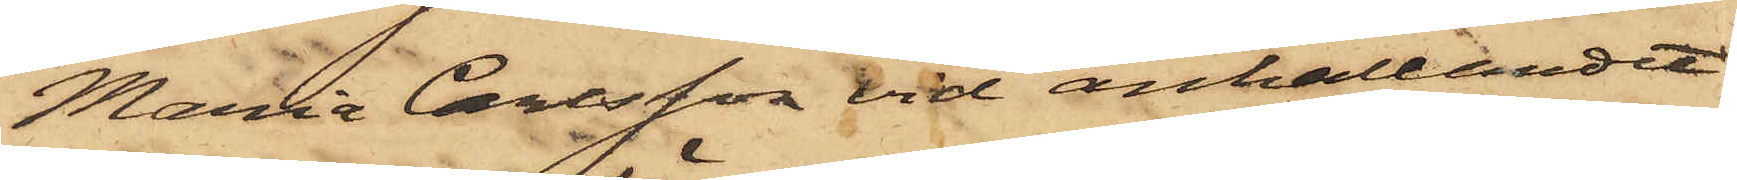Maria Carlsson vid anhållandet
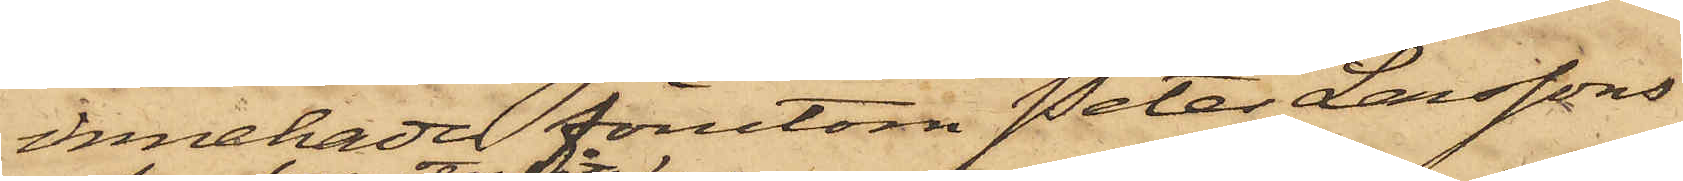innehade förutom Peter Larssons
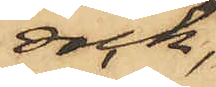rock,
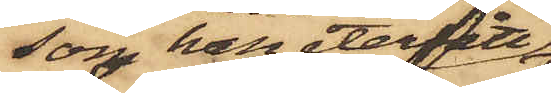som han återfått
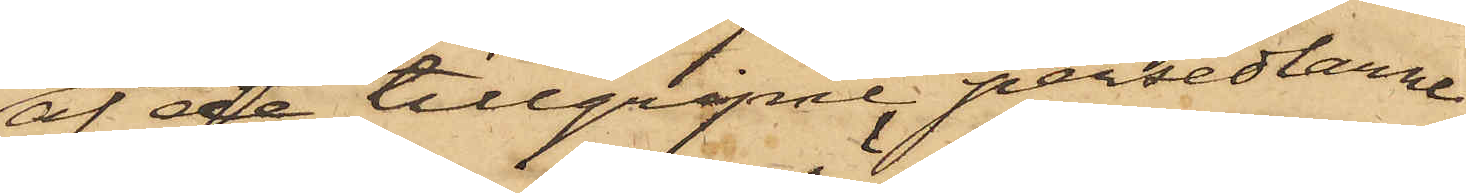af de tillgripne persedlarne
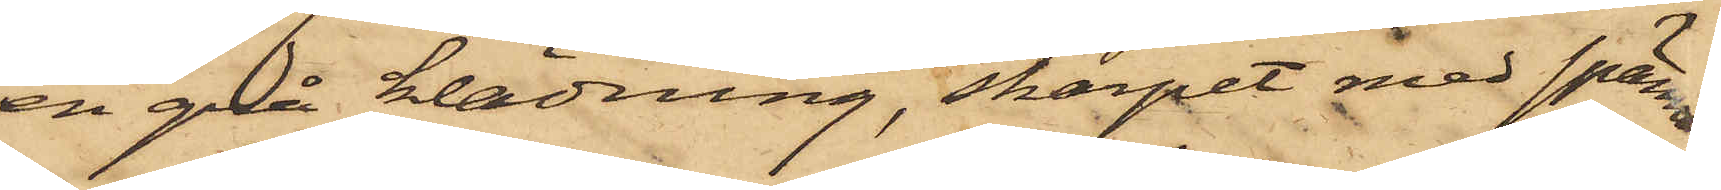en grå klädning, skärpet med spänne,
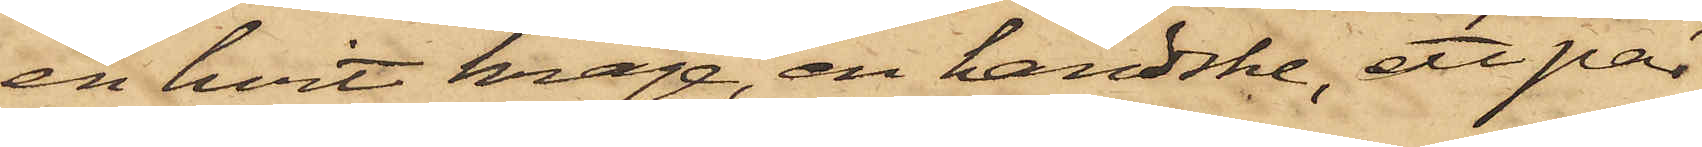en hvit krage, en handske, ett par
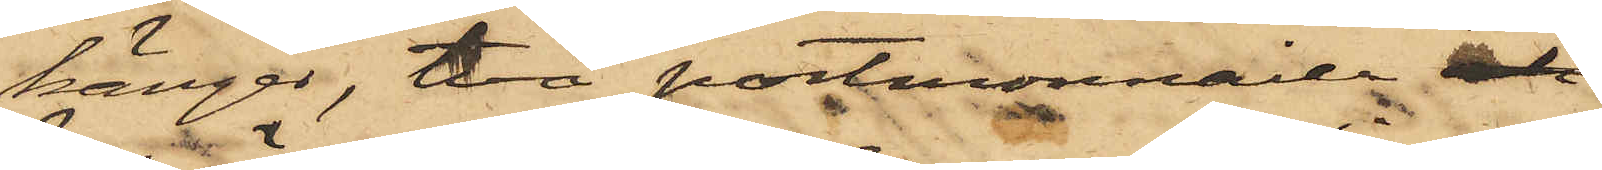känger, två portmonnaier och
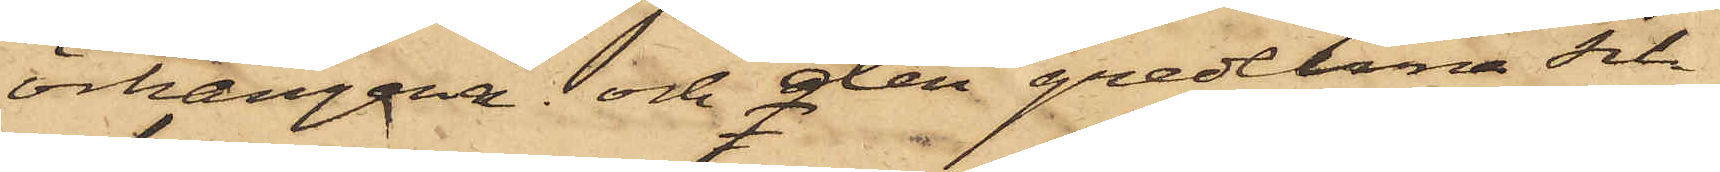örhängena och den gredelina sil¬
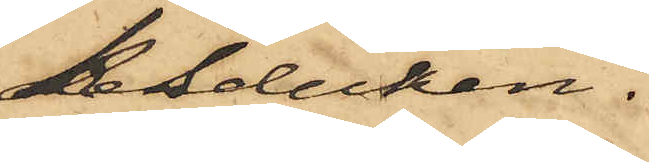kesduken.
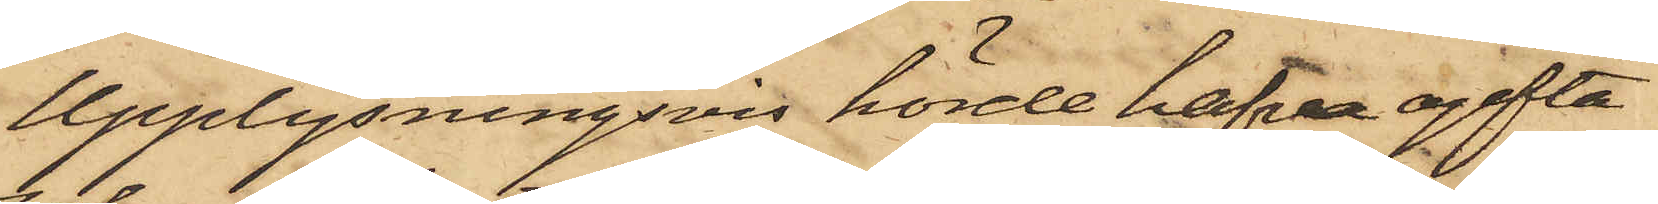Upplysningsvis hörde hafva ogifta
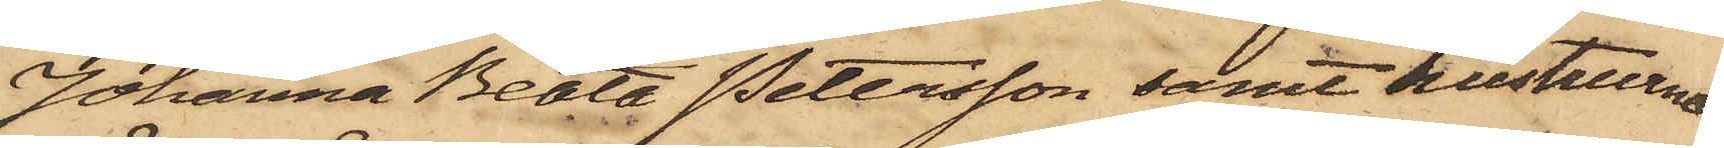Johanna Beata Petersson samt hustrurne
